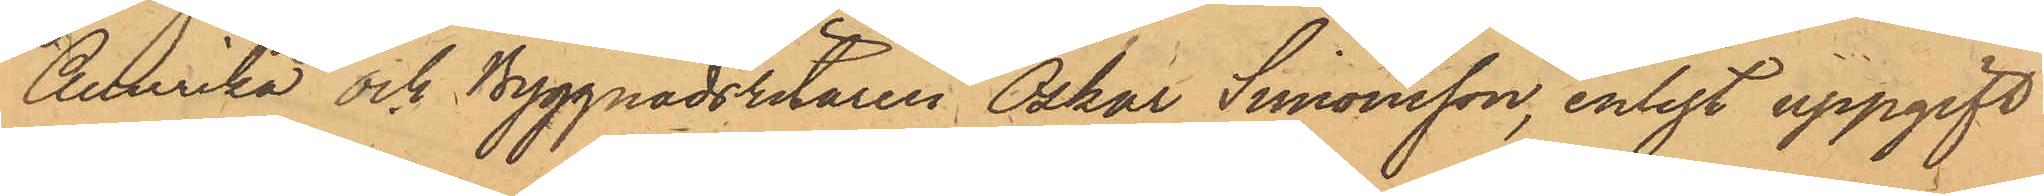Amerika och Byggnadsritaren Oskar Simonsson, enligt uppgift
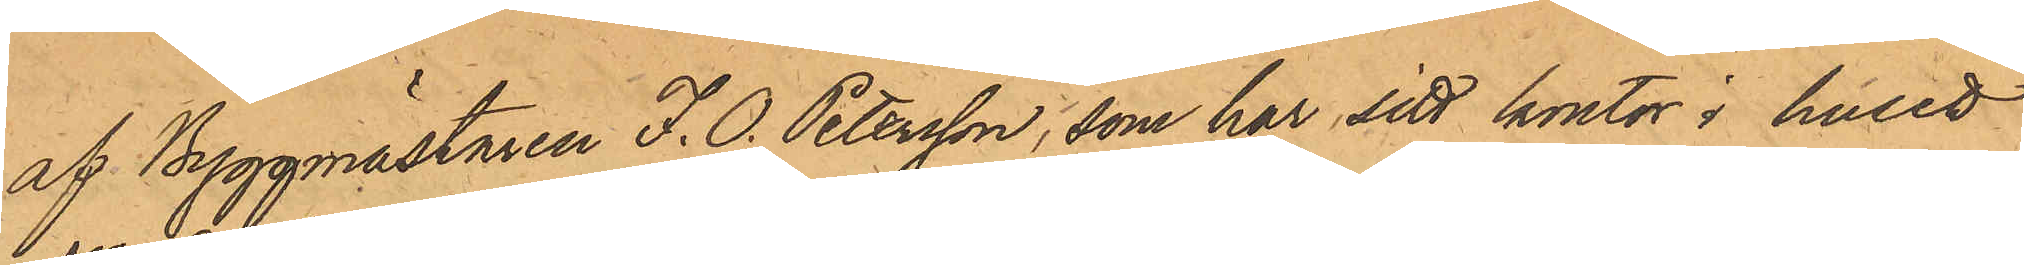af Byggmästaren J. O. Petersson, som har sitt kontor i huset
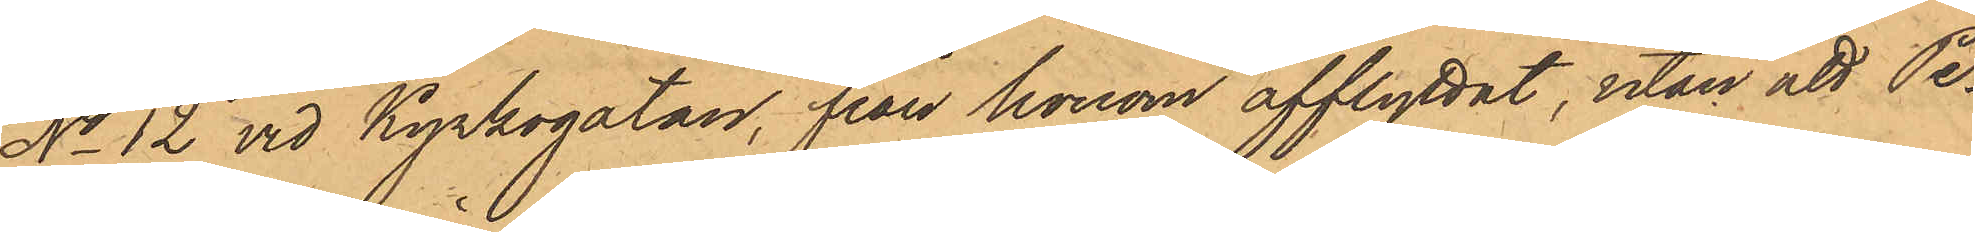No 12 vid Kyrkogatan, från honom afflyttat, utan att Pe¬
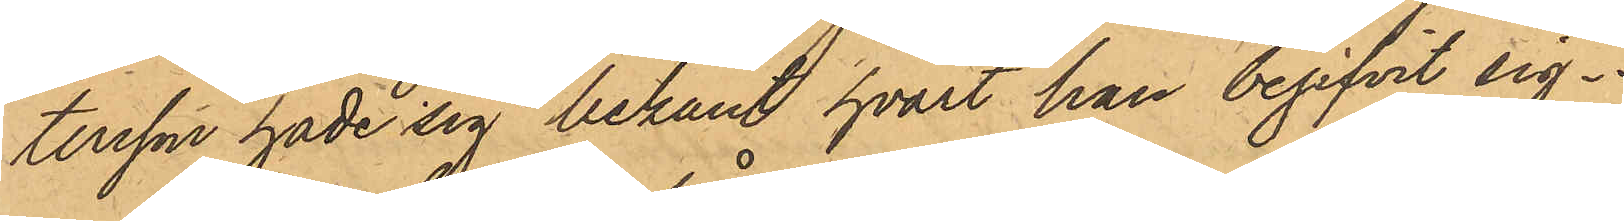tersson hade sig bekant hvart han begifvit sig.
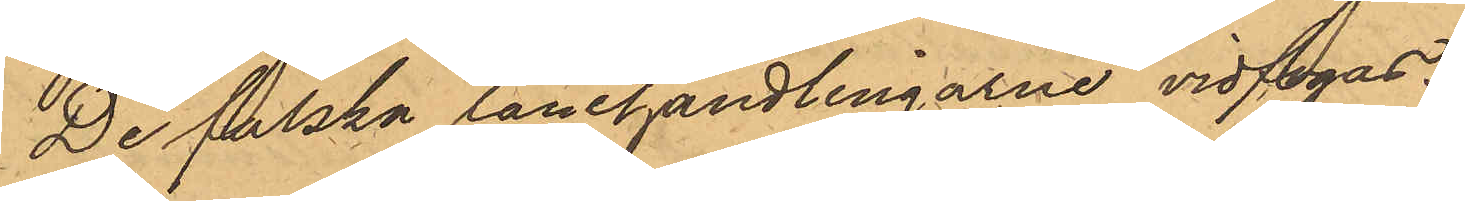De falska lånehandlingarne vidfogas.
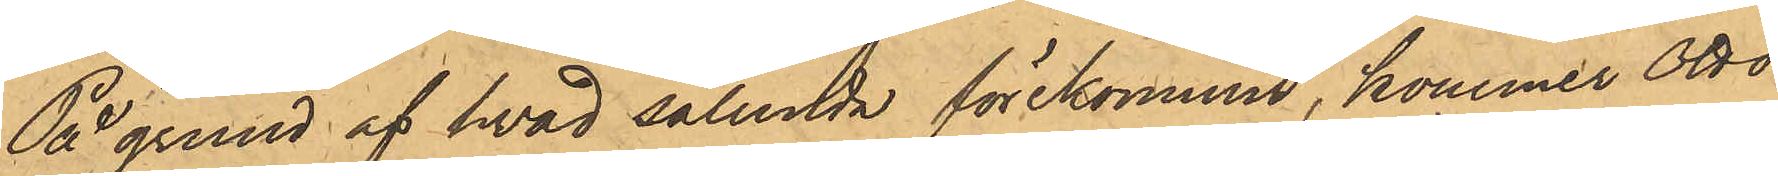På grund af hvad sålunda förekommit, kommer Otto
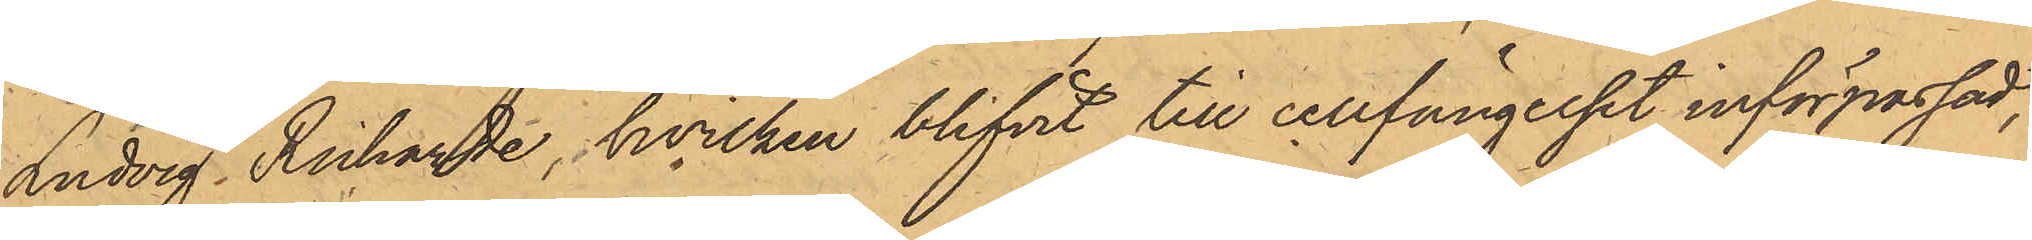Ludvig Richarde, hvilken blifvit till cellfängelset införpassad,
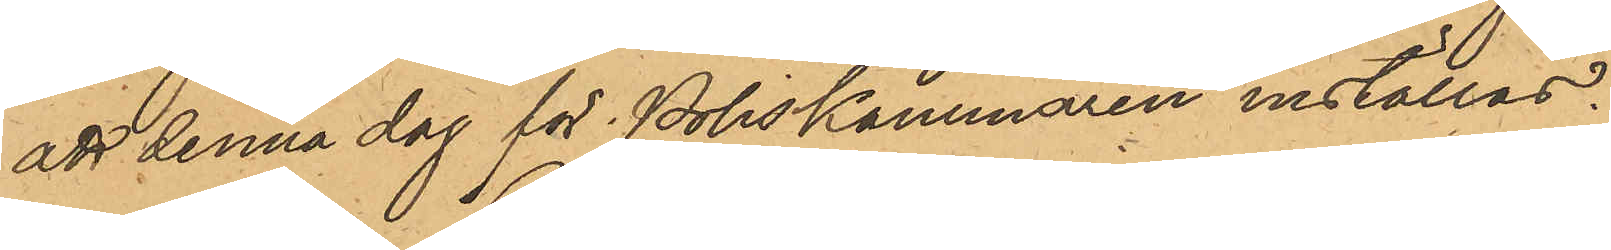att denna dag för Poliskammaren inställas.
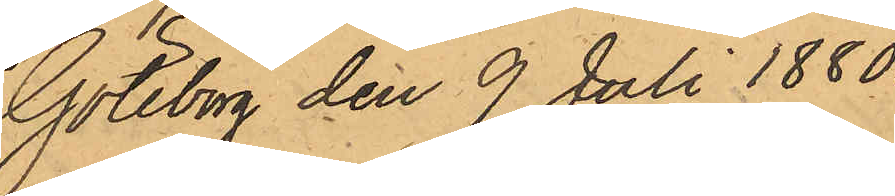Göteborg den 9 Juli 1880.
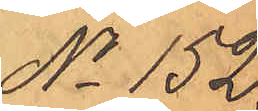No 152.
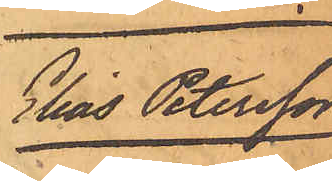Elias Petersson
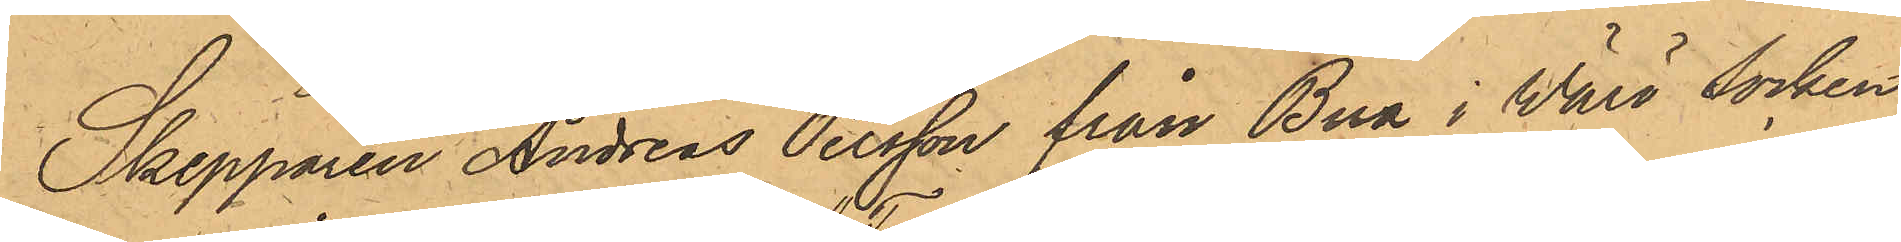Skepparen Andreas Persson från Bua i Värö Socken
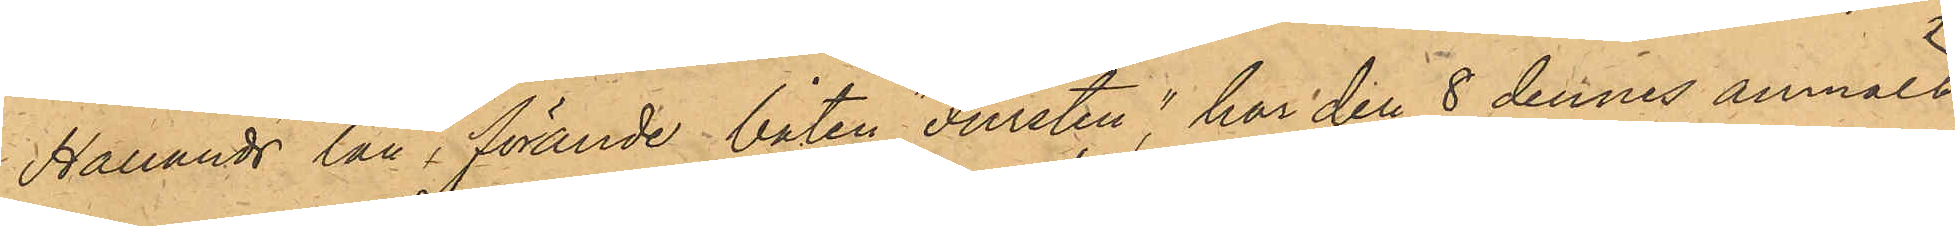Hallands län, förande båten "Fursten", har den 8 dennes anmält
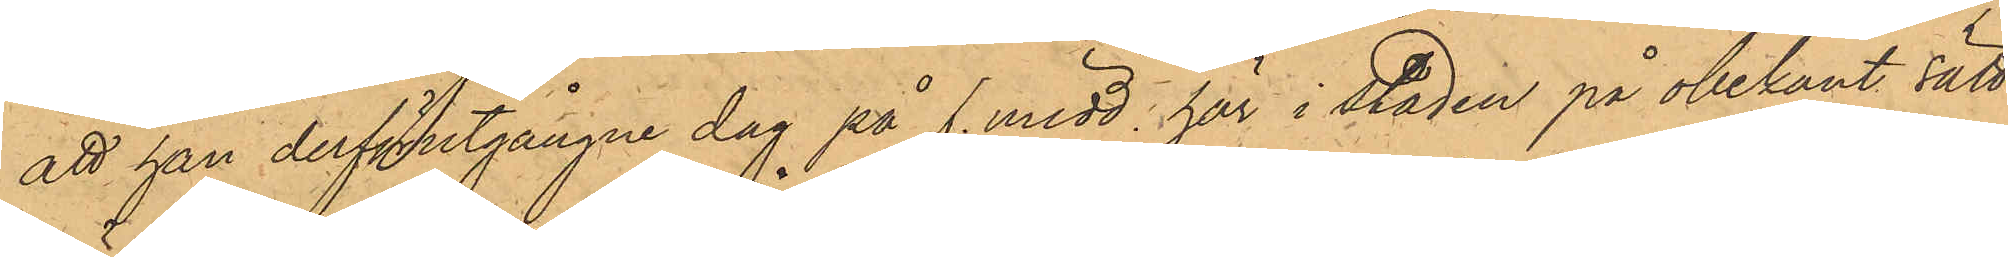att han derförutgångne dag på f. midd. här i staden på obekant sätt
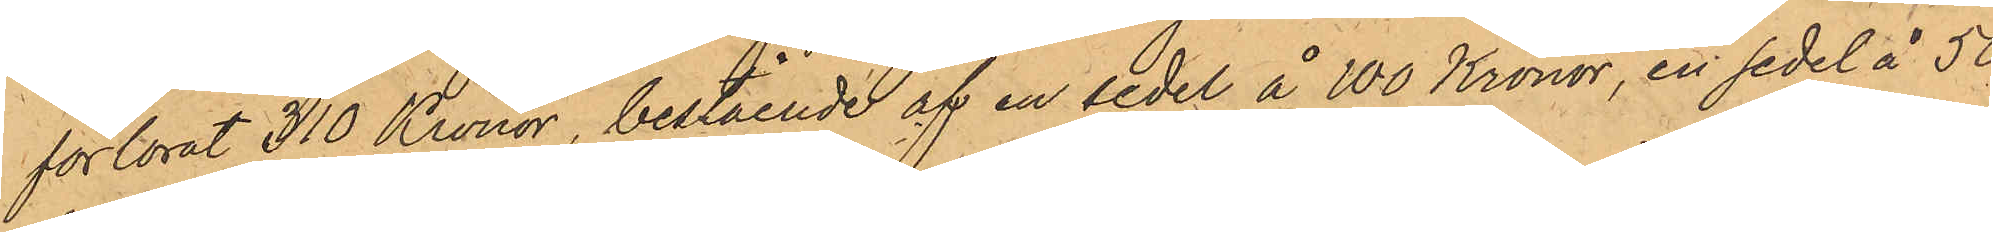förlorat 310 Kronor, bestående af en sedel å 100 Kronor, en sedel å 50
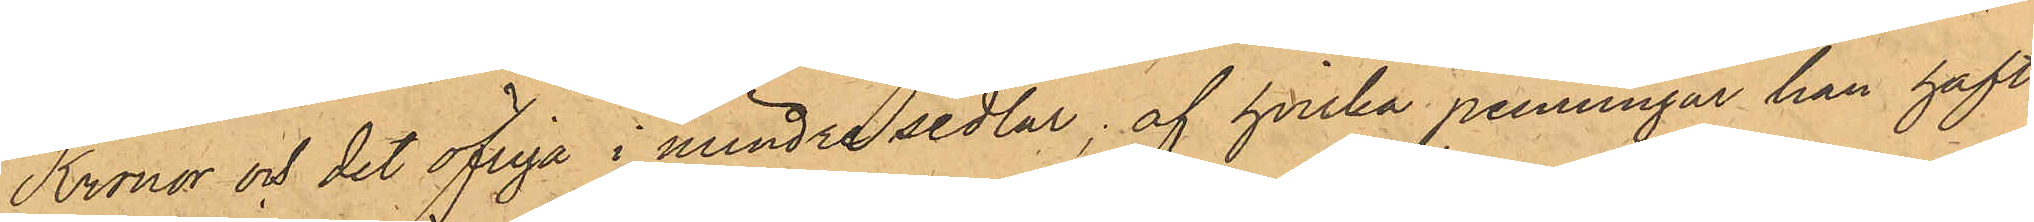Kronor och det öfriga i mindre sedlar; af hvilka penningar han haft
